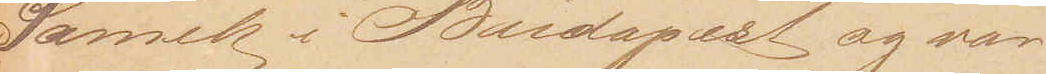Samek i Budapest og var
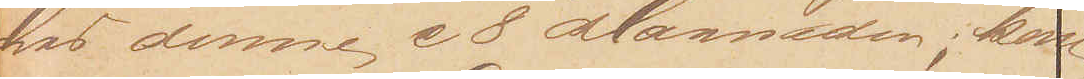hos denne c 8 Maaneder; kom
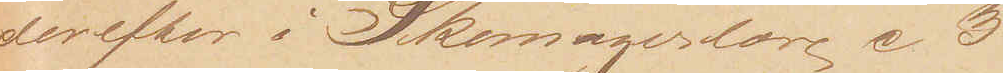derefter i Skomagerlære c 3
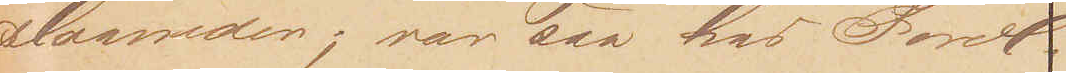Maaneder; var saa hos Foræl¬
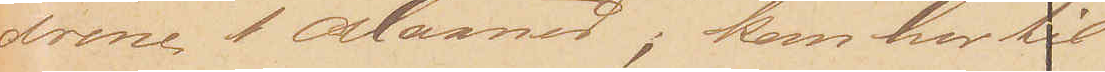drene 1 Maaned; kom her til
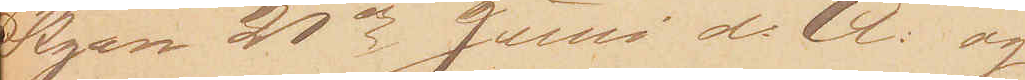Byen 21de Juni d: A: og
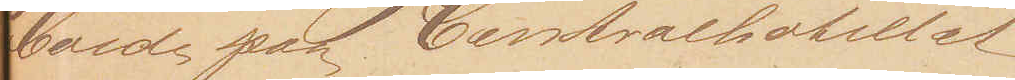boede paa Centralhotellet 
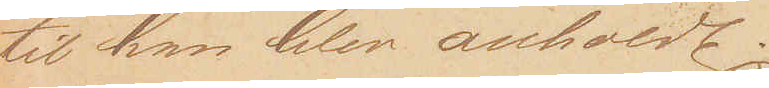til han blev anholdt.
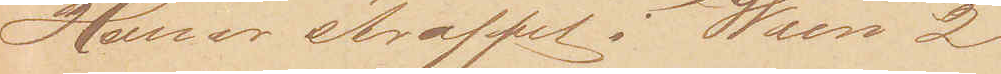Han er straffet i Wien 2
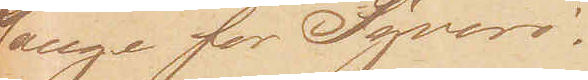Gange for Tyveri.
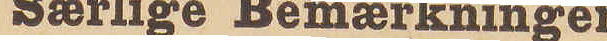Særlige Bemærkninger
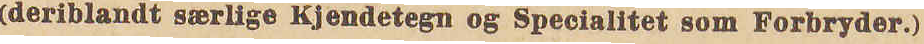(deriblandt særlige Kjendetegn og Specialitet som Forbryder.)
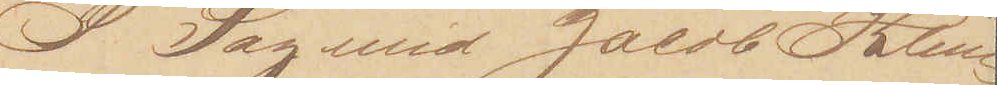I Lag med Jacob Klein.
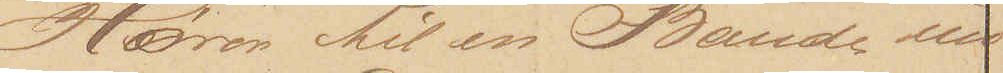Hører til en Bande un¬
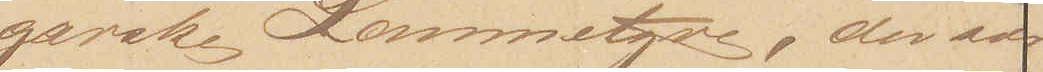garske Lommetyve, der sær¬
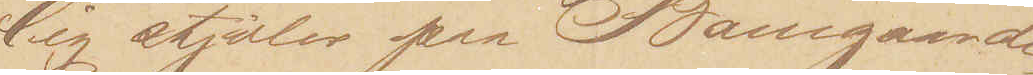lig stjæler paa Banegaarde.
